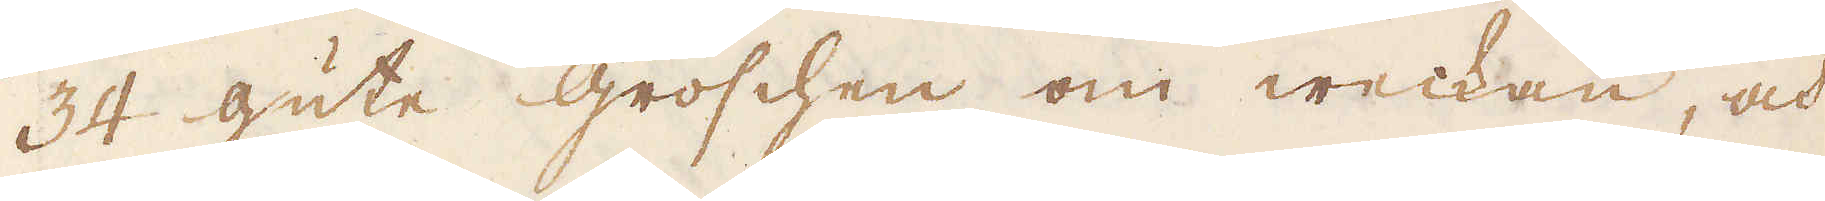34 gute groschen om weckan, och
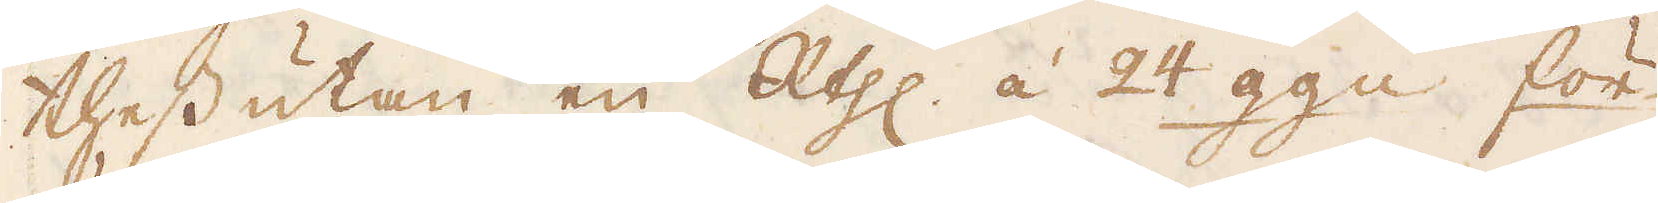thessutan en R:thlr á 24 gg:n för
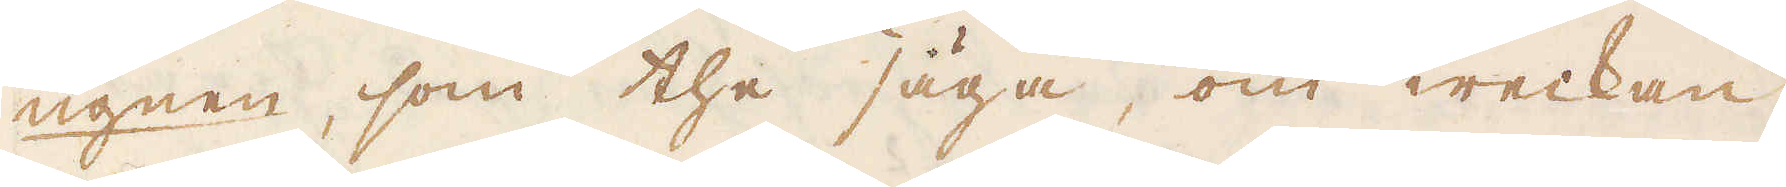ugnen, som the säga, om weckan,
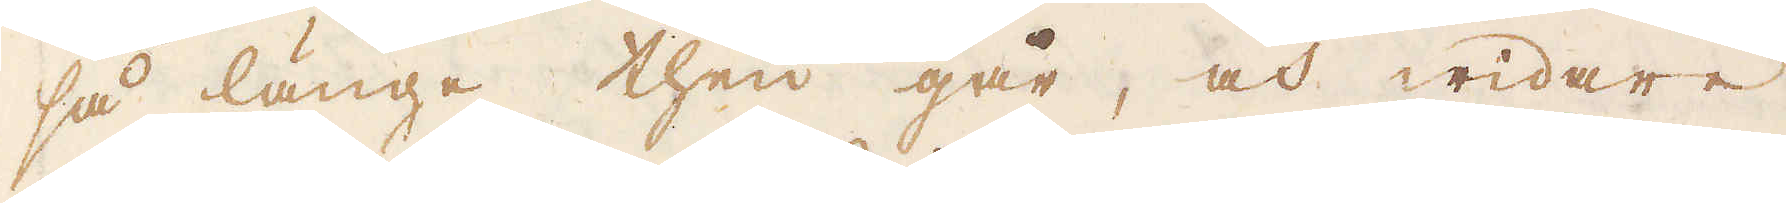så långe then går, och widare
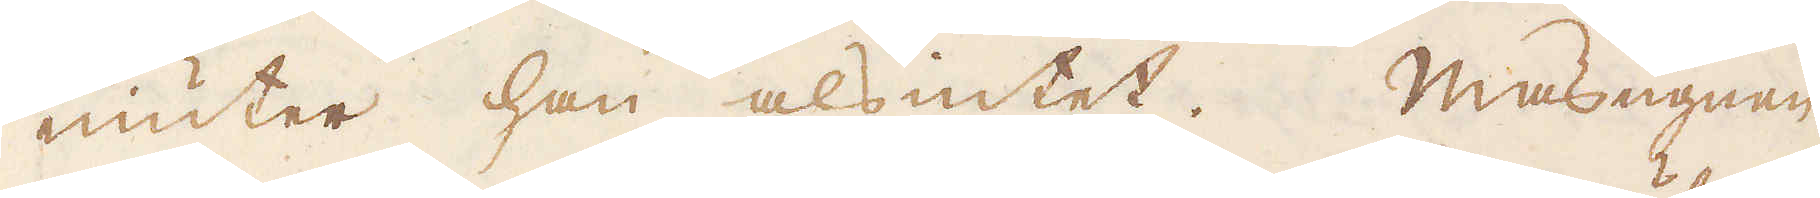niuter han alsintet. Masugnen
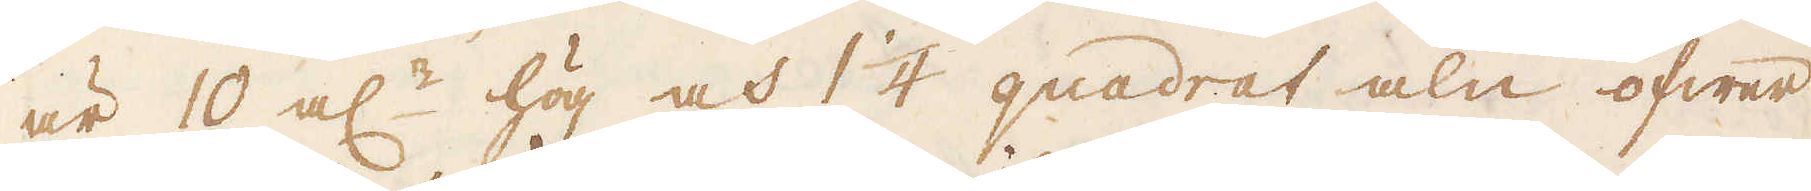är 10 al:r hög och 1 1/4 quadrat aln öfwer
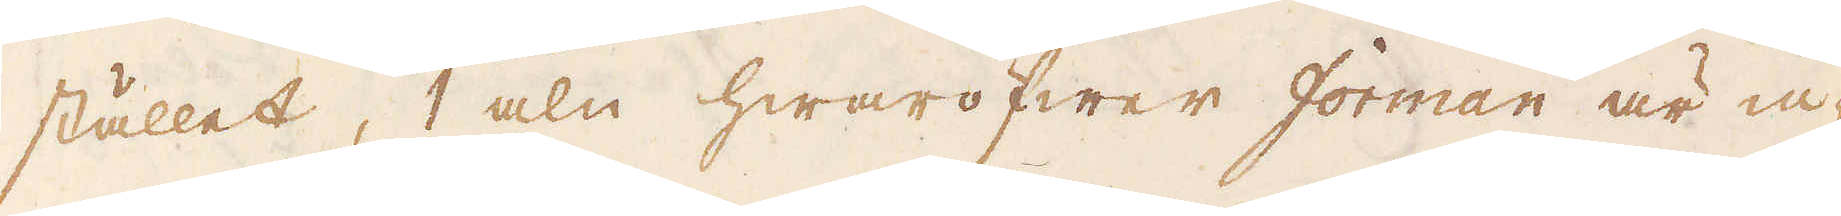stället, 1 aln hwaröfwer forman är in-
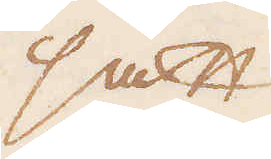satt
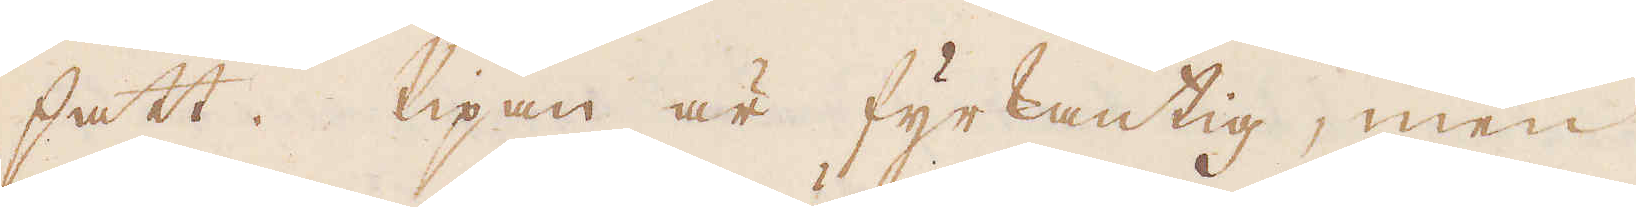satt. Pipan är fyrkantig, men
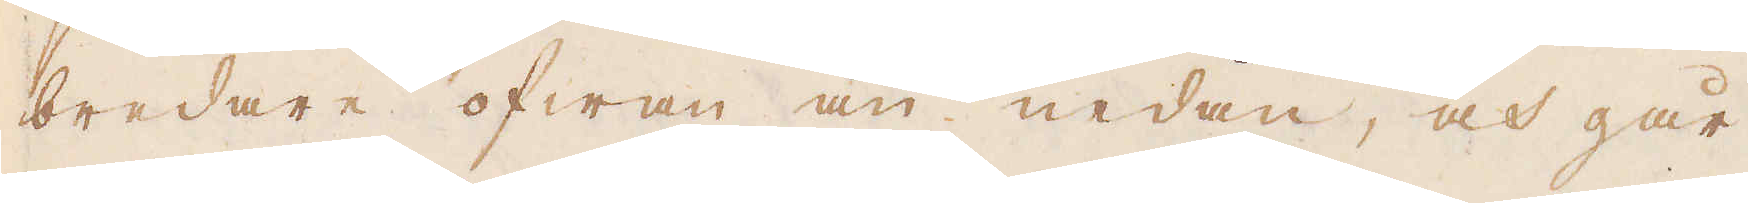bredare ofwan än nedan, och går
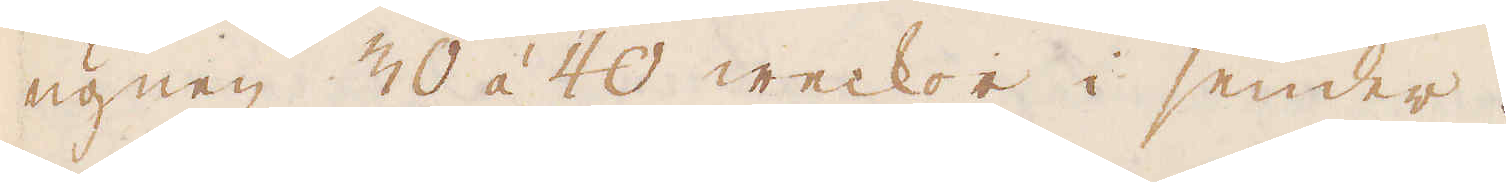ugnen 30 á 40 weckor i sender.
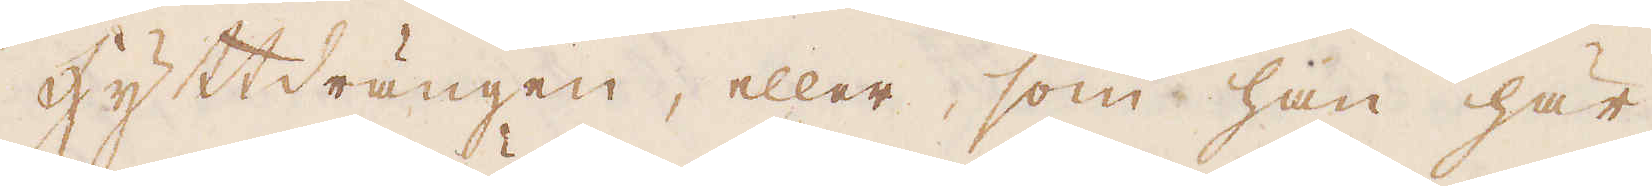Hyttdrängen, eller, som han här
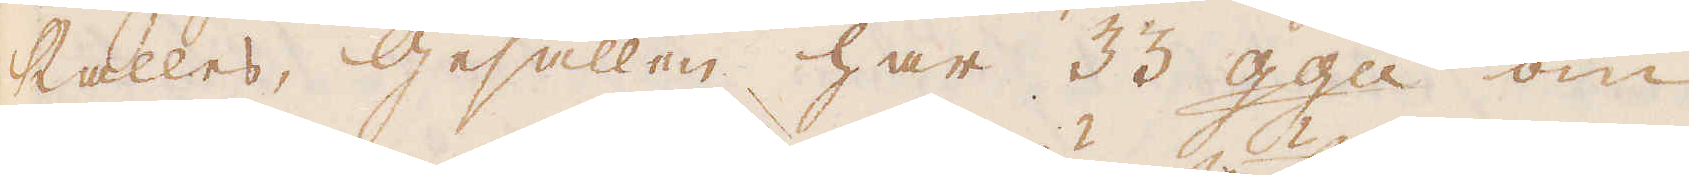kallas, Gesällen har 33 gg:n om
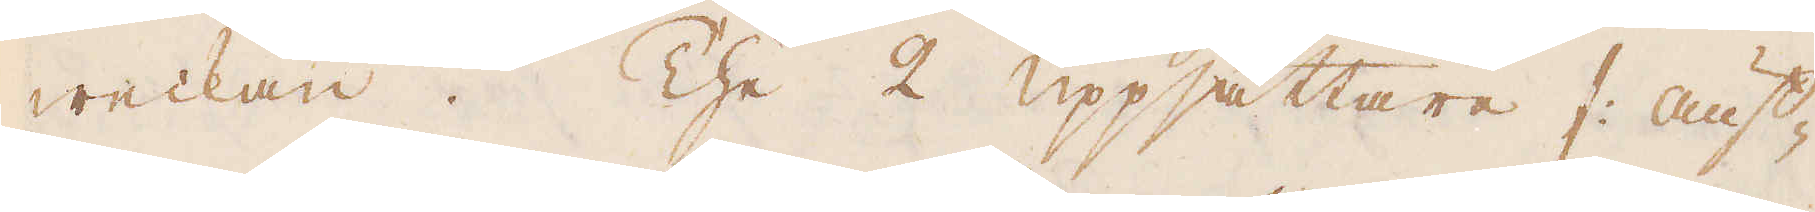weckan. The 2 uppsättare /: auf-
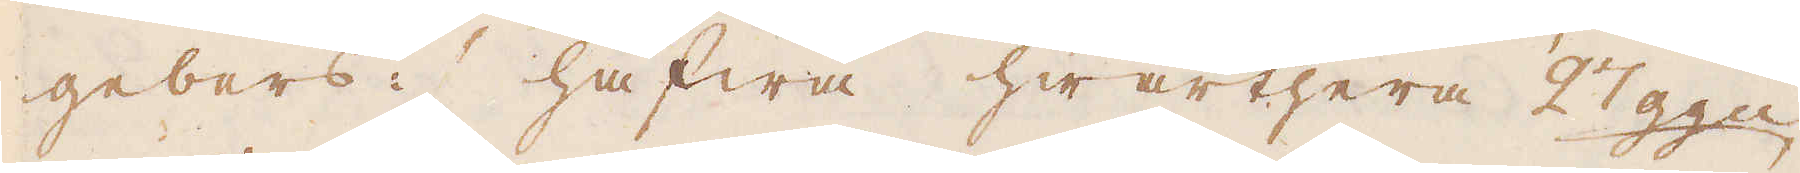gebers :/ hafwa hwarthera 27 gg:n
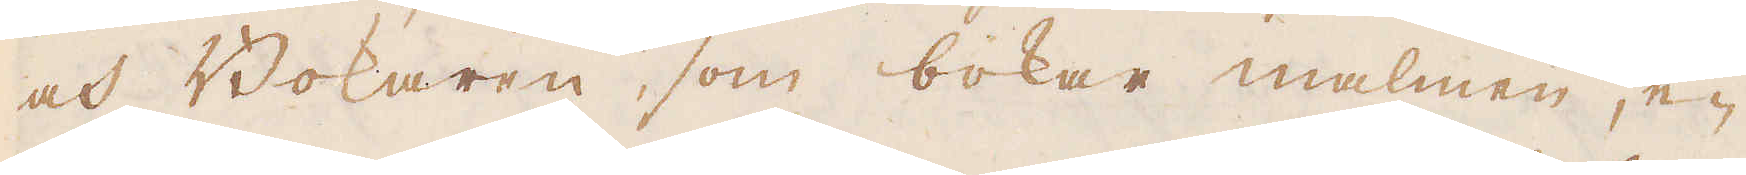och Bokaren, som bokar malmen, e-
